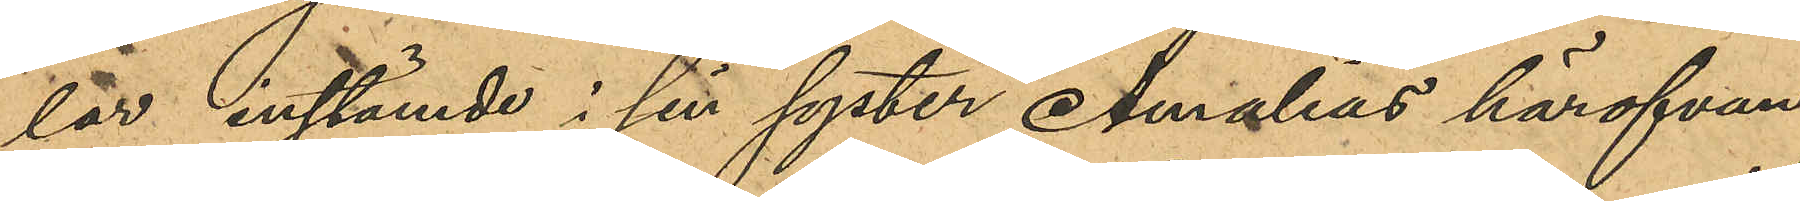lar instämde i sin syster Amalias härofvan
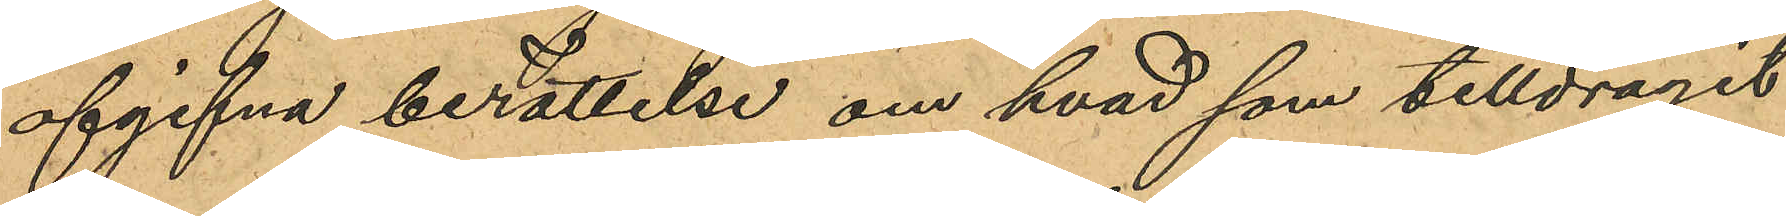afgifna berättelse om hvad som tilldragit
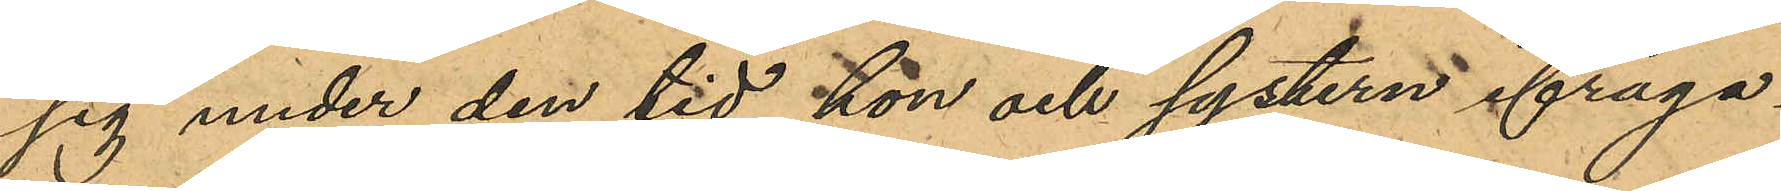sig under den tid hon och systern ifråga¬
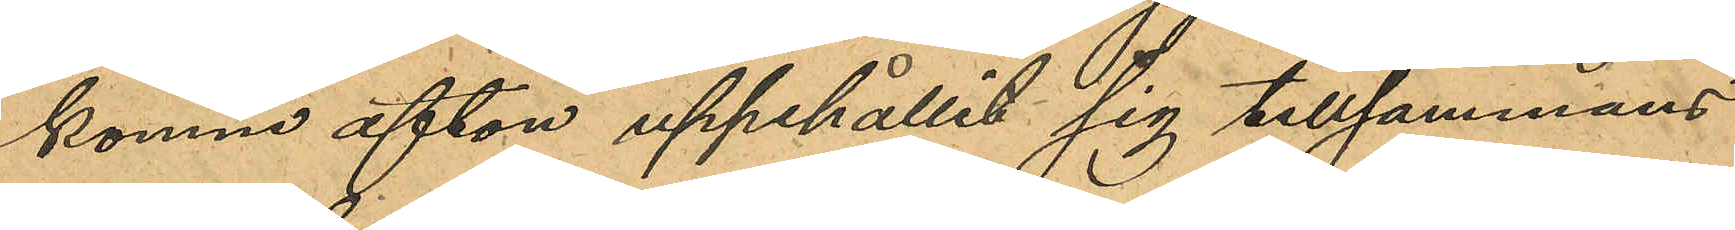komne afton uppehållit sig tillsammans
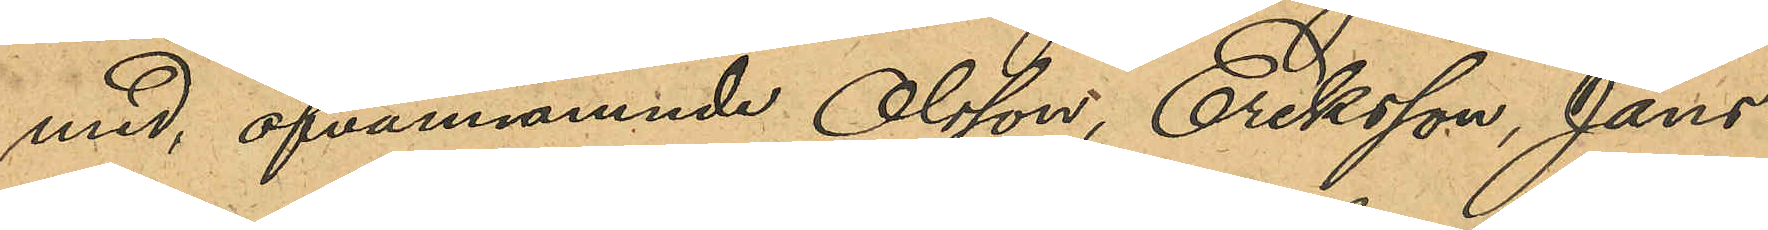med, ofvannämnde Olsson, Eriksson, Jans¬
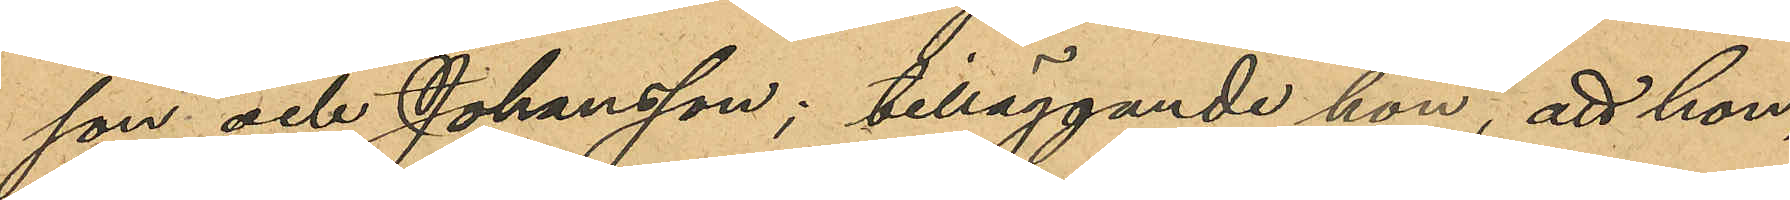son och Johansson, tilläggande hon, att hon,
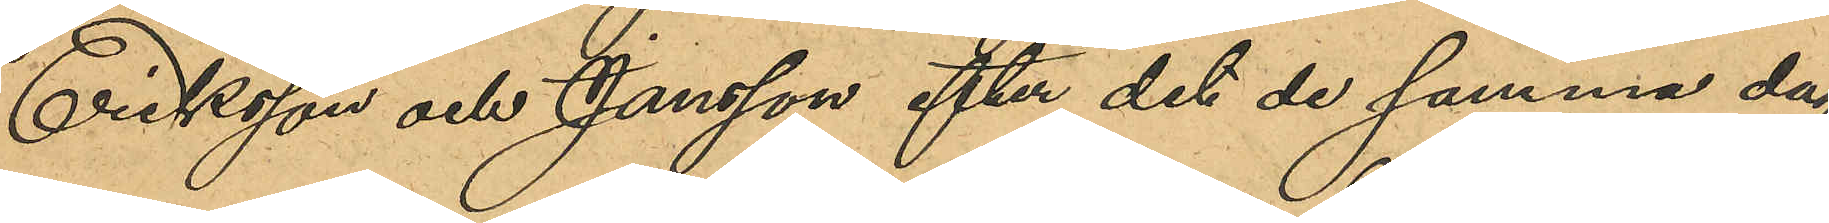Eriksson och Jansson efter det de samma dag
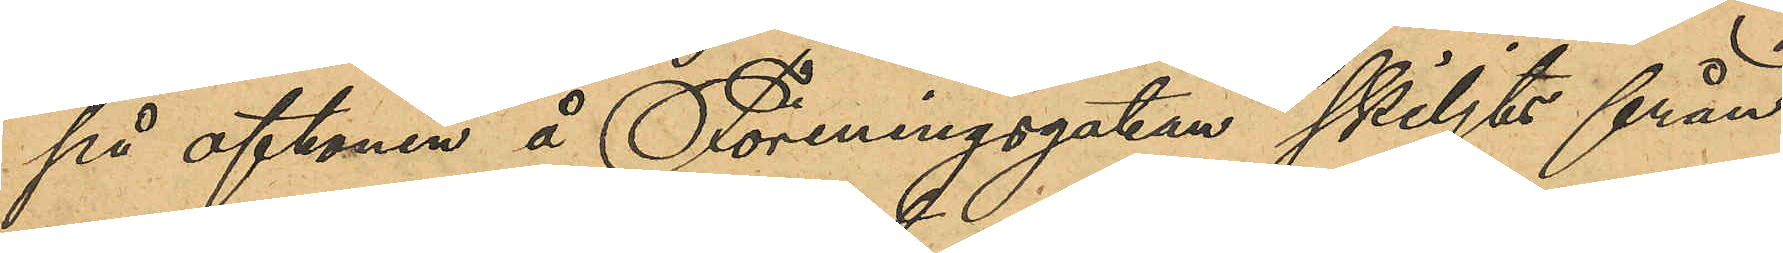på aftonen å Föreningsgatan skiljts från
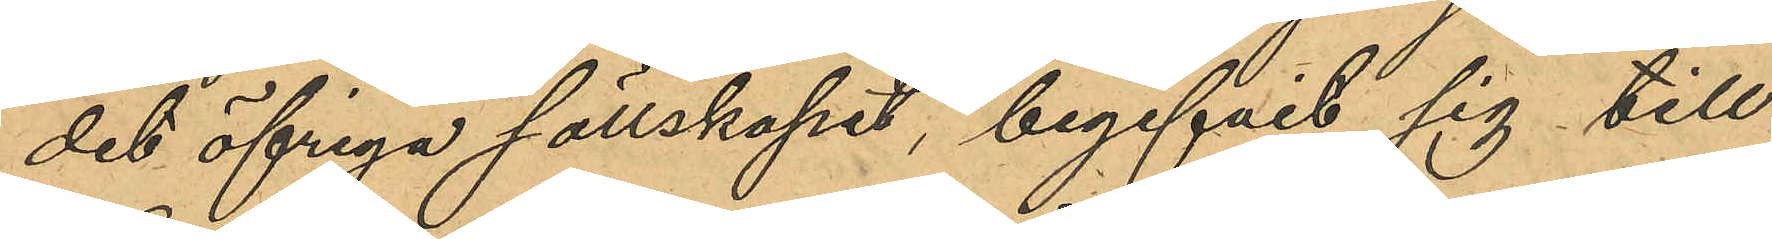det öfvriga sällskapet, begifvit sig till
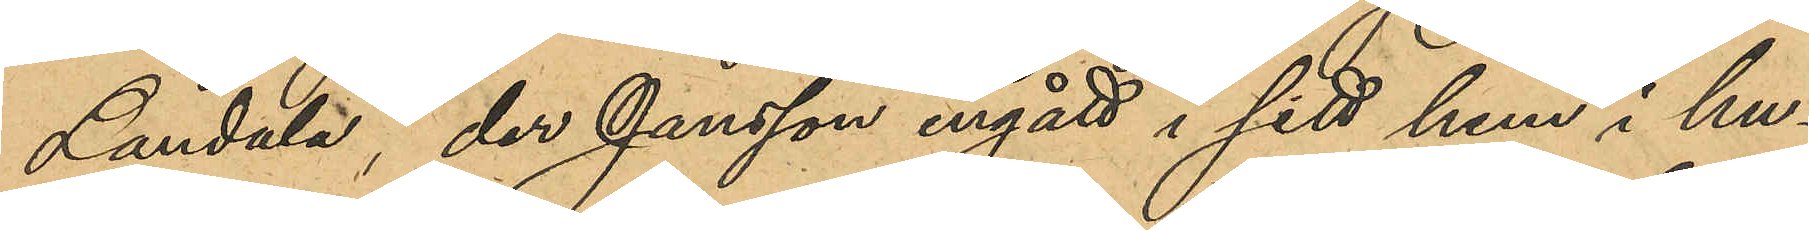Landala, der Jansson ingått i sitt hem i hu¬
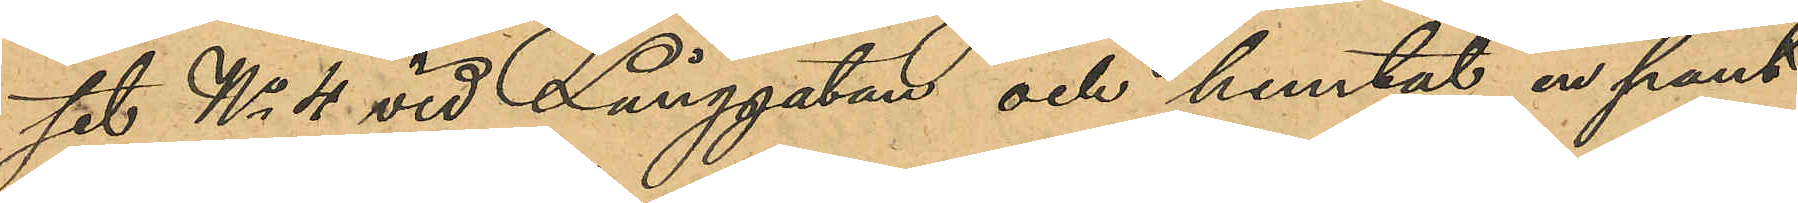tet No 4. vid Långgatan och hemtat en pant¬
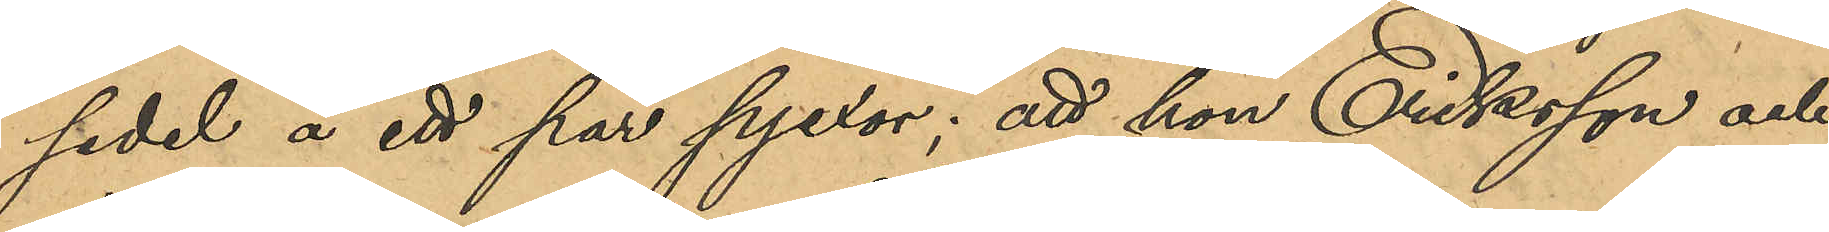sedel å ett par pjexor; att hon, Eriksson och
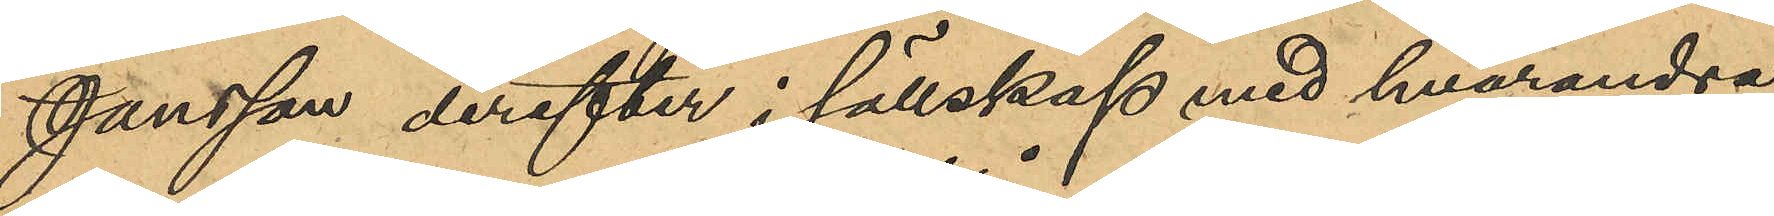Jansson derefter i sällskap med hvarandra
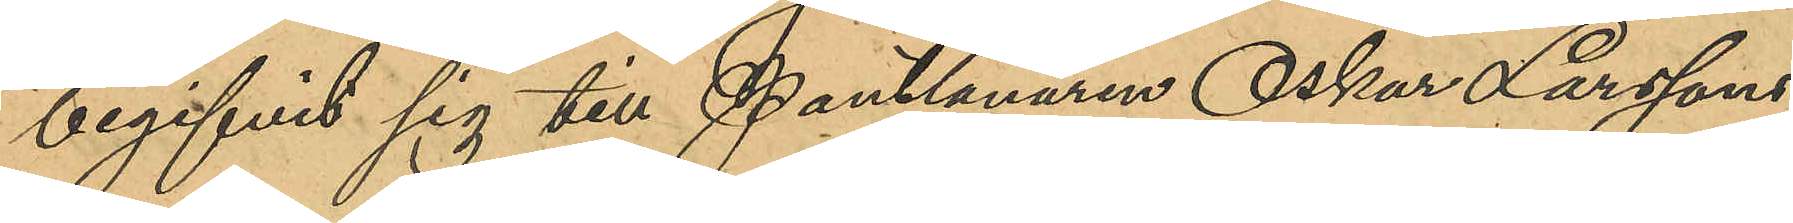begifvit sig till Pantlånaren Oskar Larssons
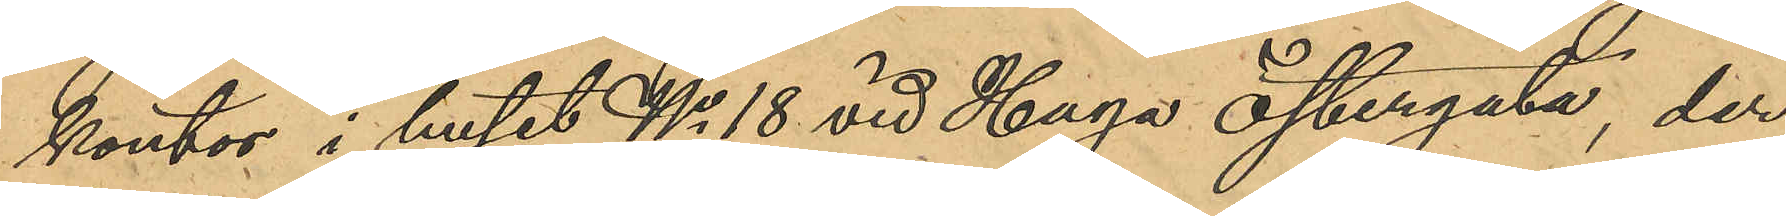kontor i huset No 18. vid Haga Östergata der
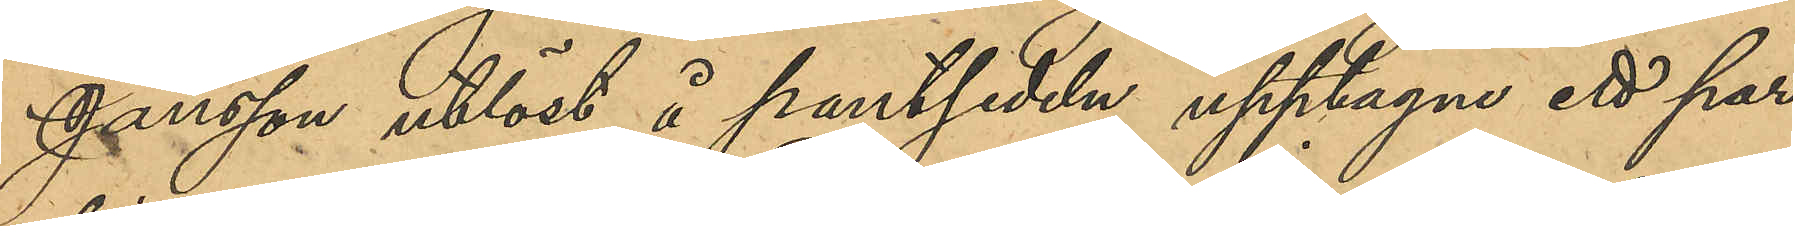Jansson utlöst å pantsedeln upptagne ett par
